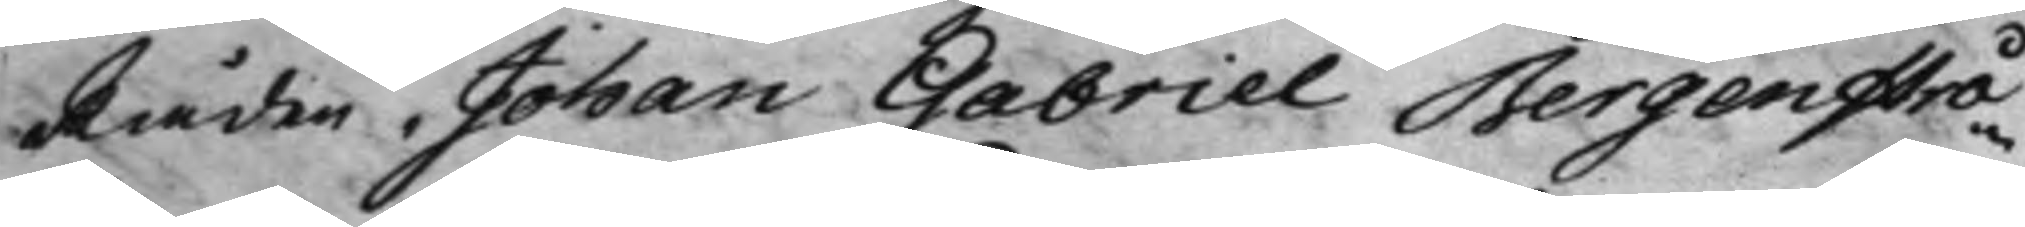Råden Johan Gabriel Bergenstrå¬
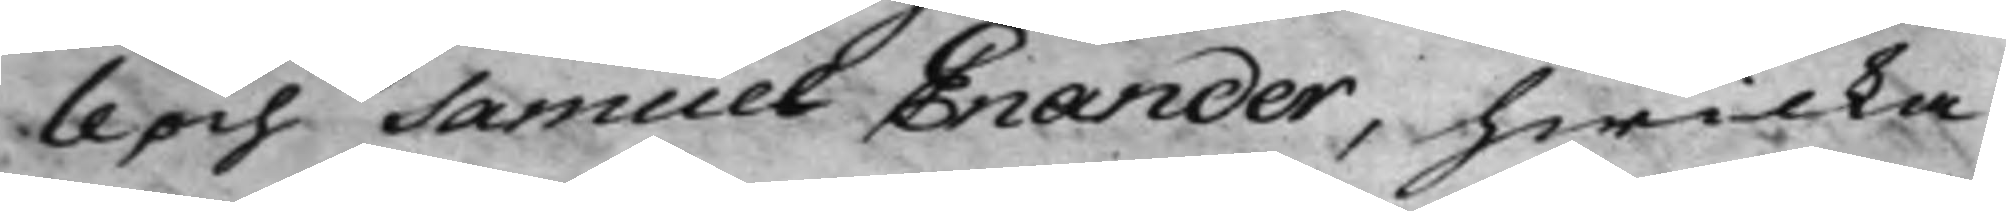le och Samuel Enander, hwilka
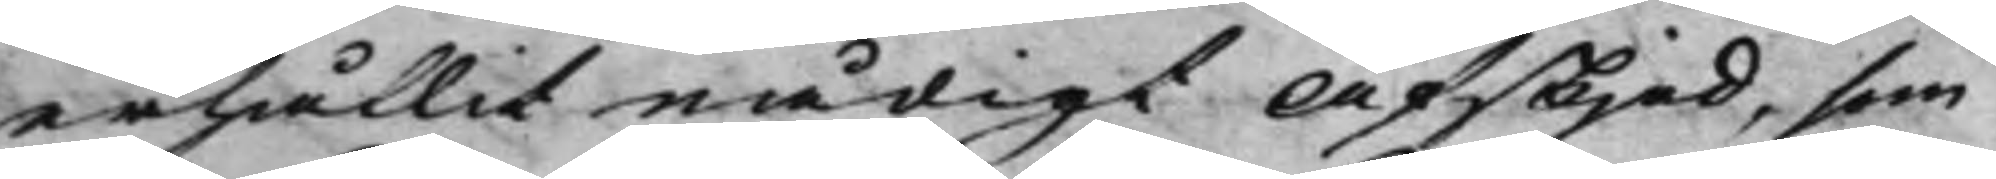erhållit nådigt Afskjed, som
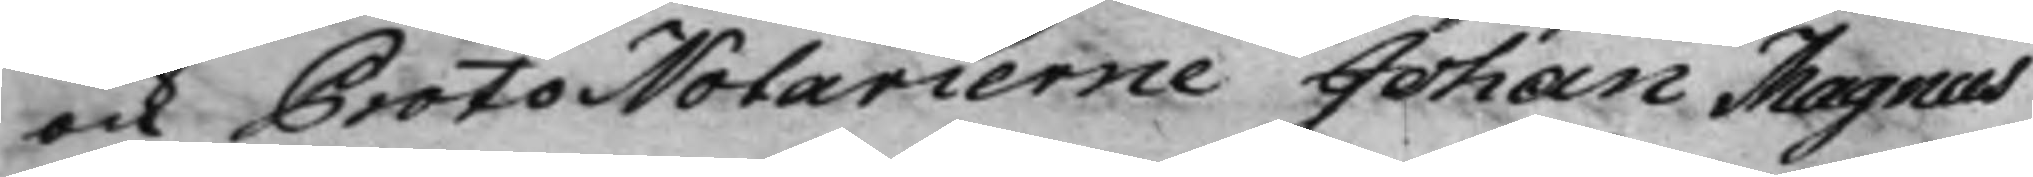ock ProtoNotarierne Johan Magnus
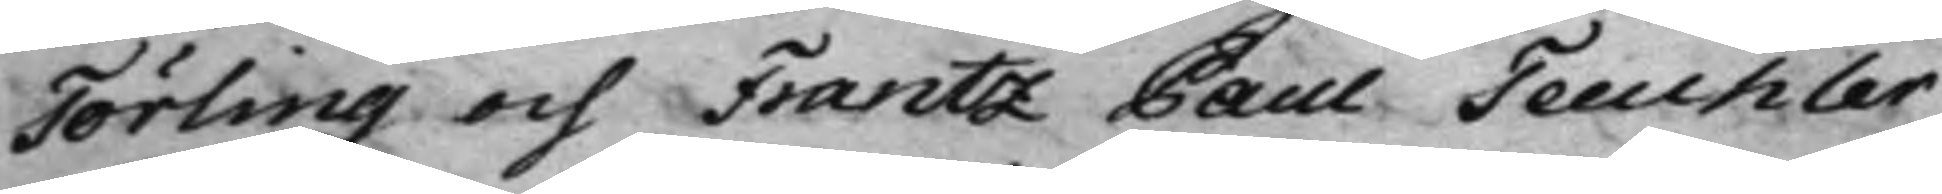Törling och Frantz Paul Teuchler
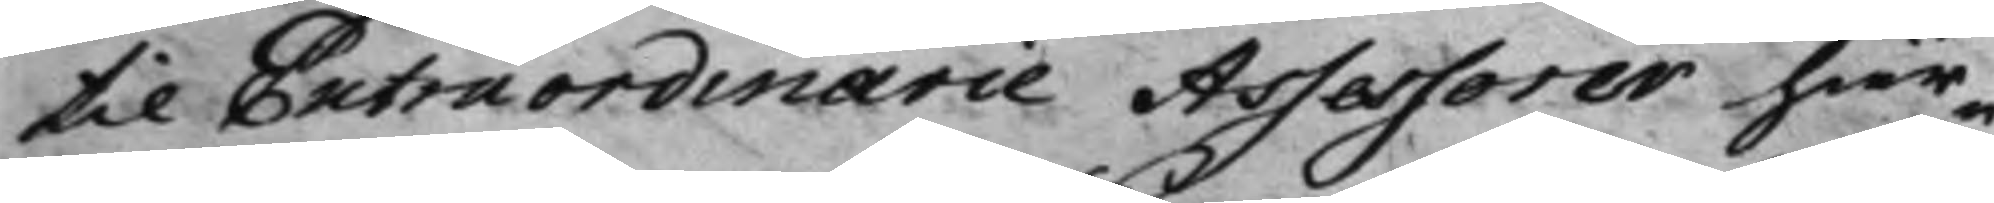til Extraordinarie Assessorer här¬
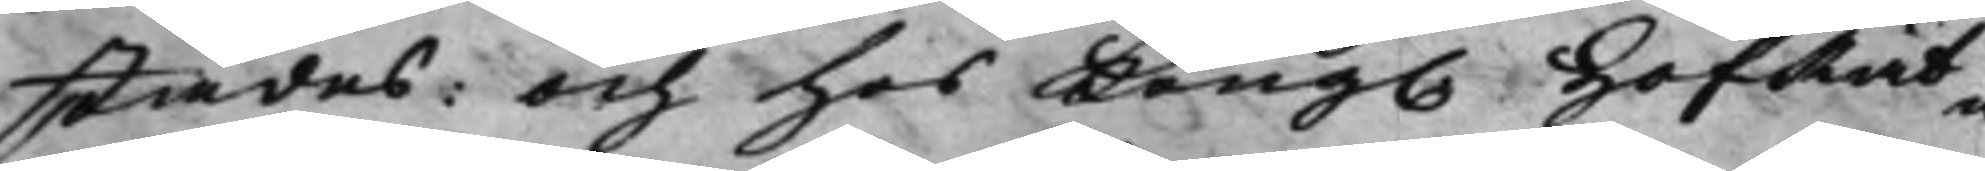städes: och hos Kong. HofRät¬ 
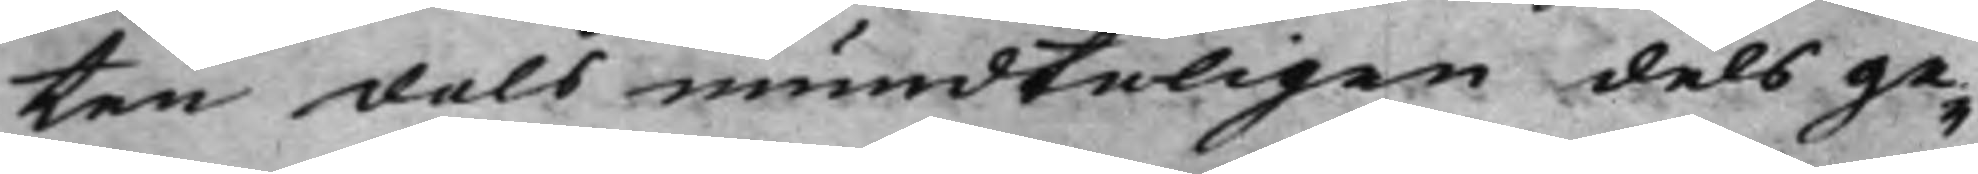ten dels mundteligen dels ge¬
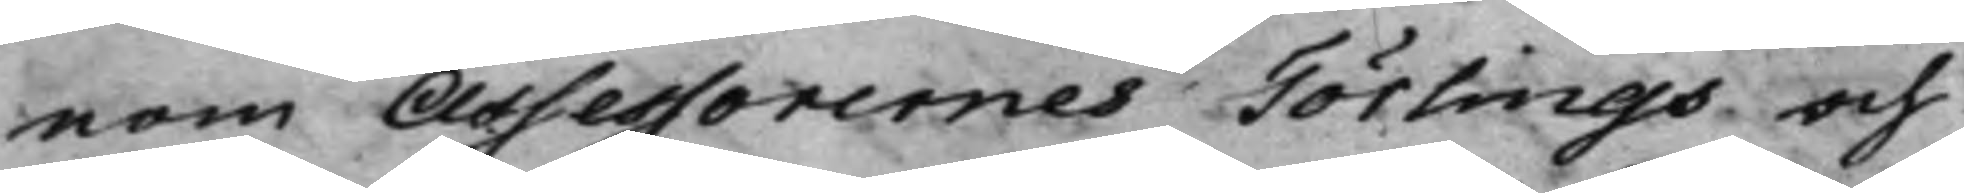nom Assessorernes Törlings och
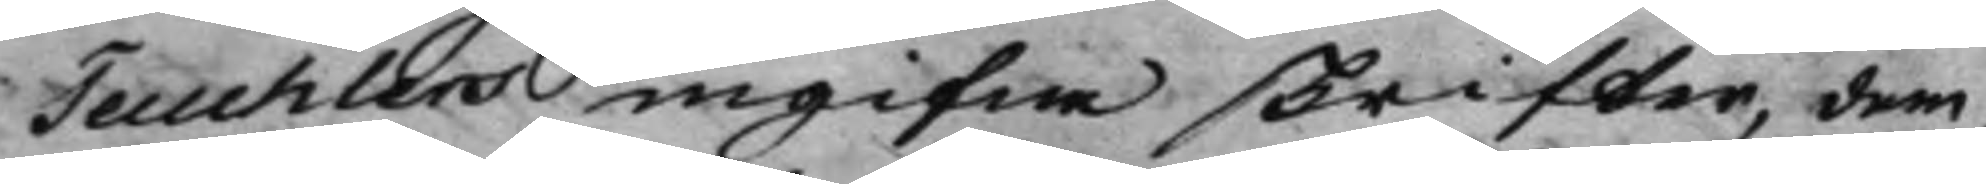Teuchlers ingifne skrifter, dem,
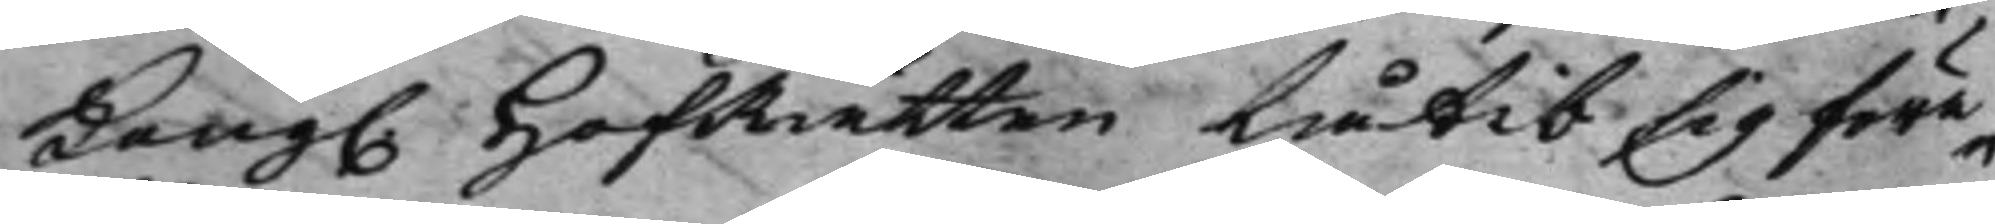Kong. HofRätten låtit sig före¬ 
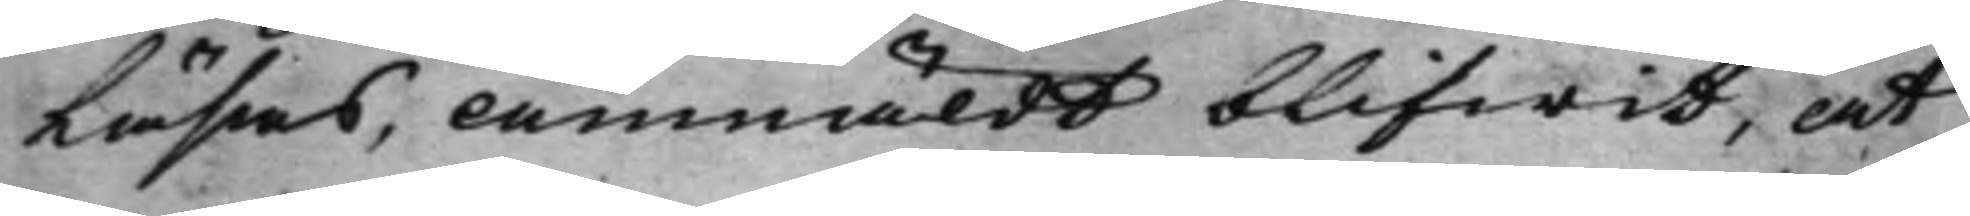Läsas, Anmäldt blifwit, at
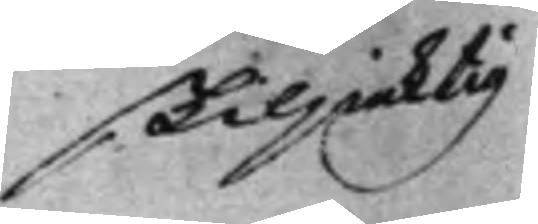skiljaktig
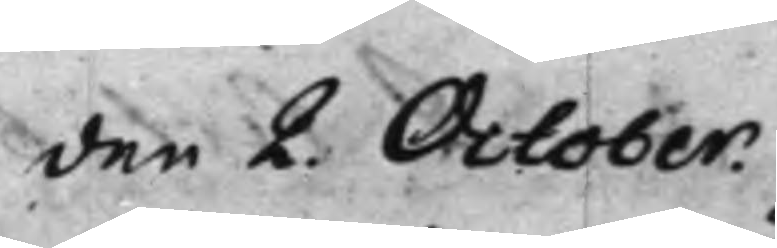den 2. October. 
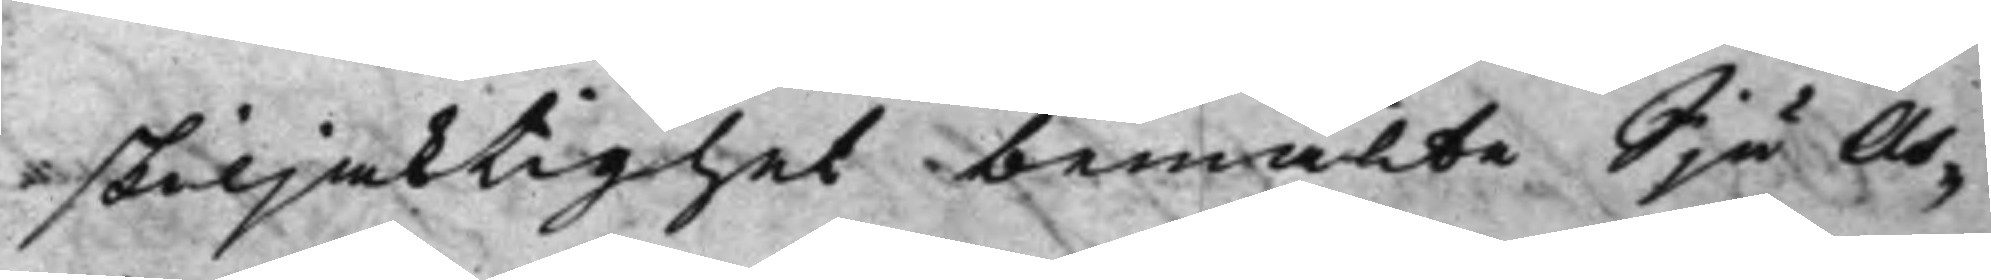skiljaktighet bemälte Sju As¬
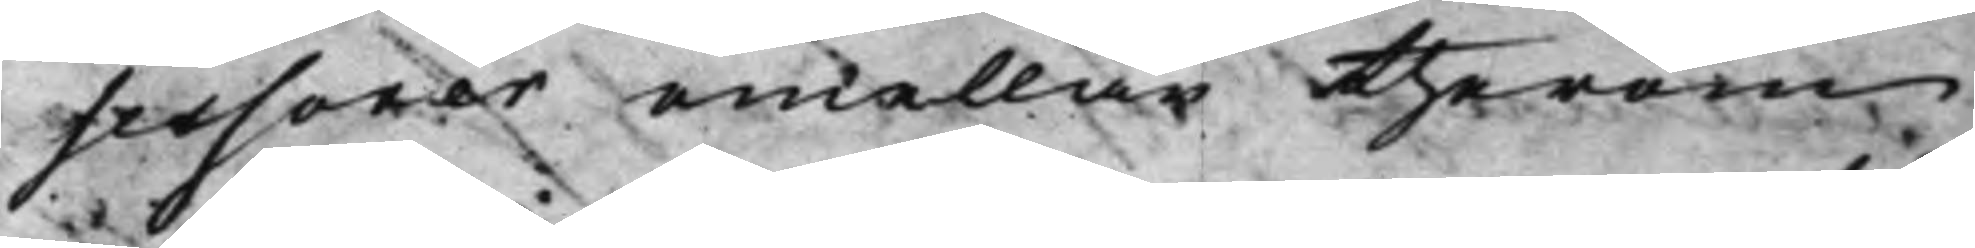sessorer emellan therom
